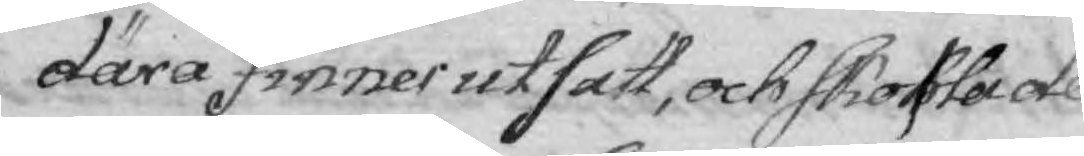därå finner utsatt, och skohla de
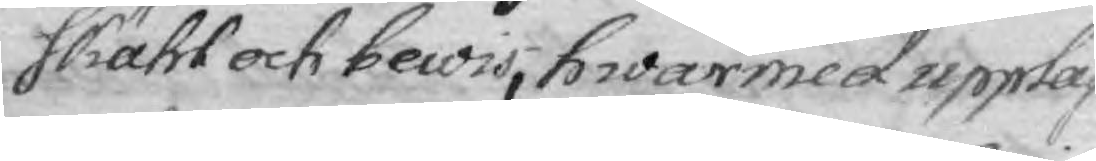skähl och bewis, hwarsmed upplä¬
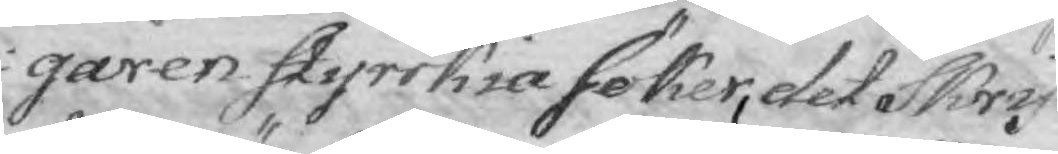garen styrckia söker, det Skrif¬
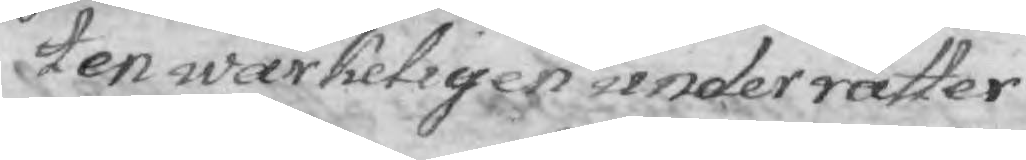ten wärkeligen underrätter
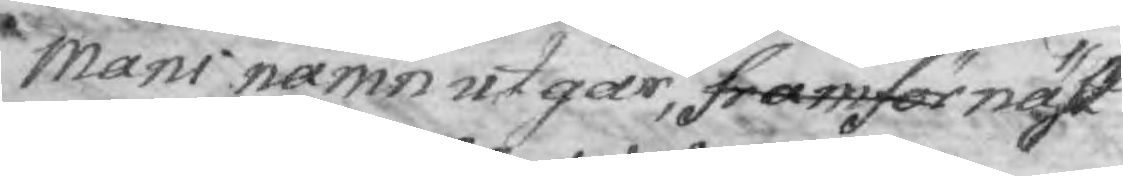Mans namn utgår, framför näst
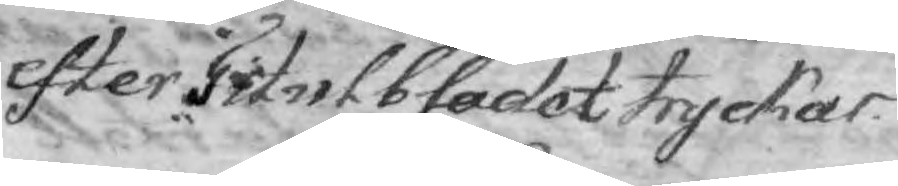efter Titulbladet trycker.
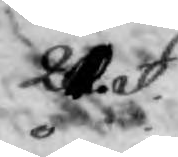21. §.
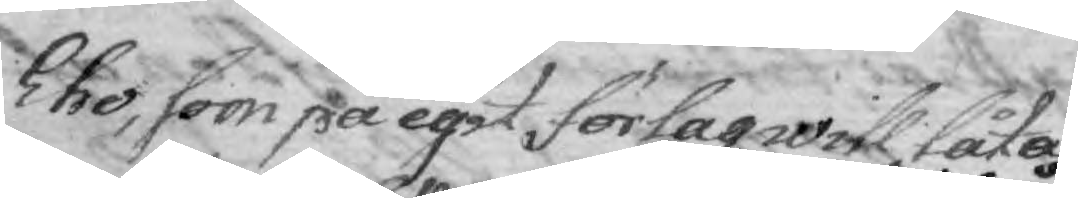Eho, som på egit förlag will tåta
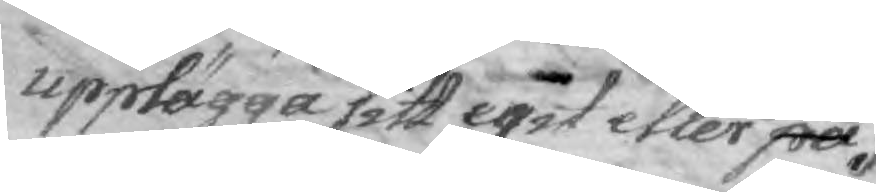upplägga sitt egit etler på
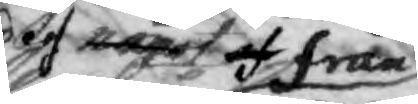något des af från
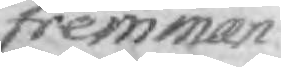fremman¬
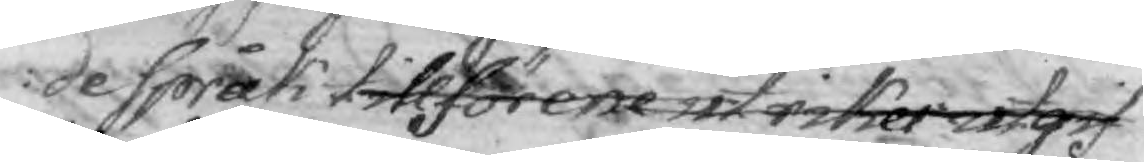de språk tillförene utrikes utgif¬
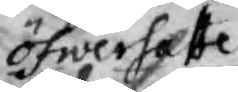öfwersatte
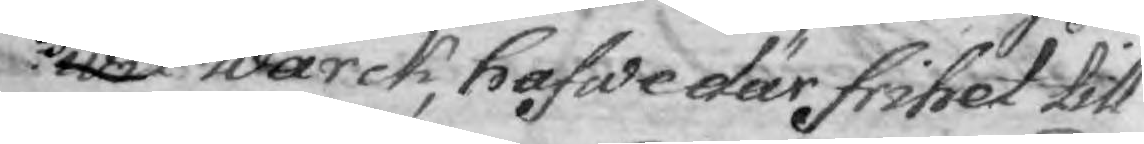wet wärck, hafwe där frihet till
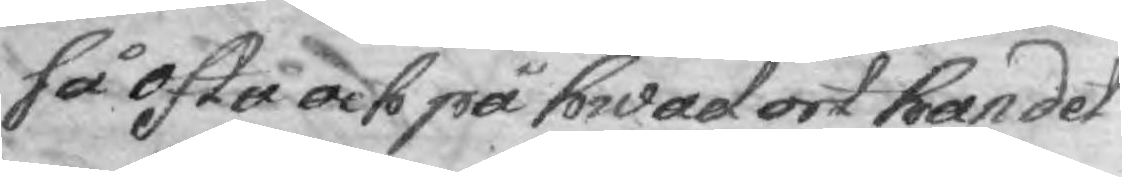så ofta och på hwad ort han det
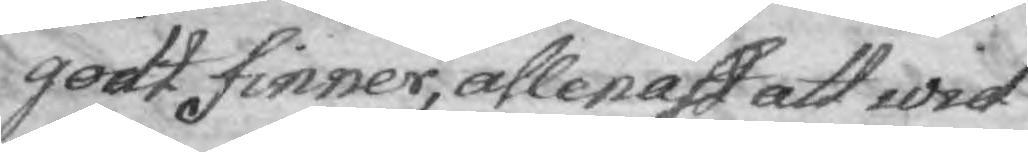godt finner, allenast att wid
